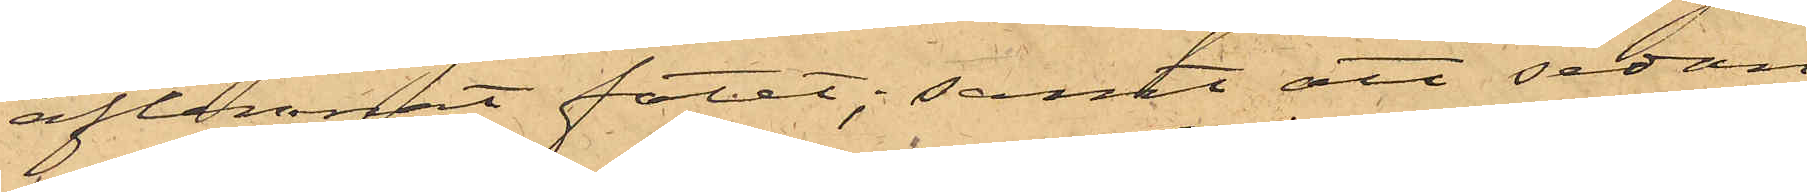aflemnat fatet; samt att sedan
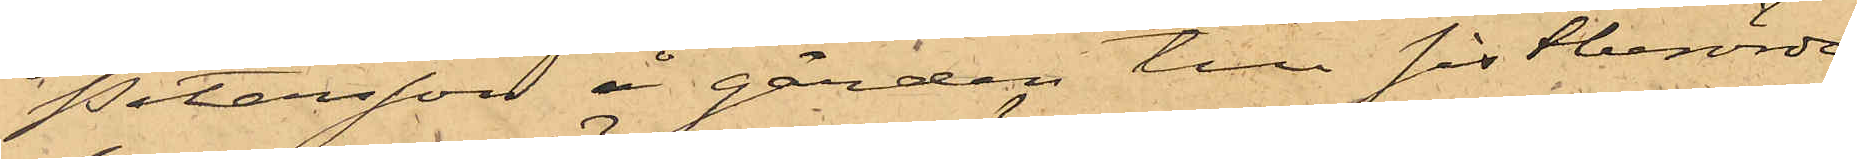Petersson å gården till sistberörde
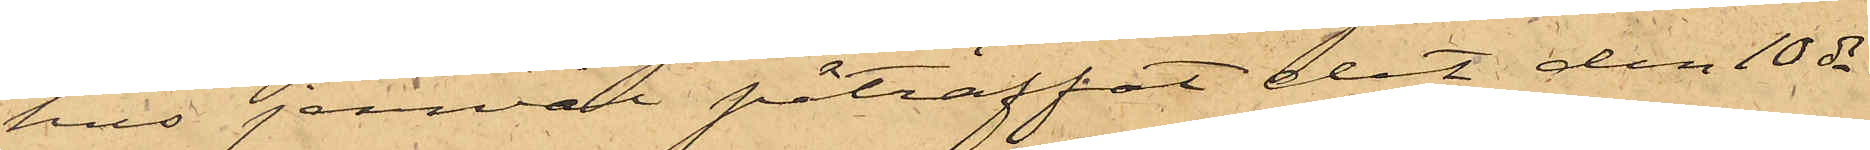hus jemväl påträffat det den 10 ds
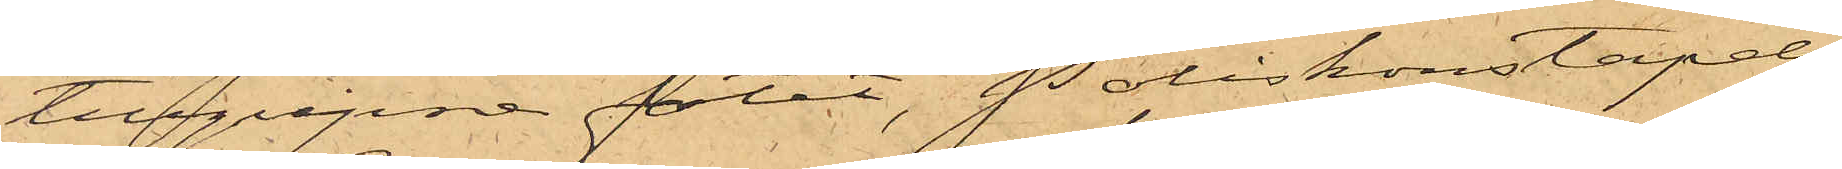tillgripne fatet, Poliskonstapeln
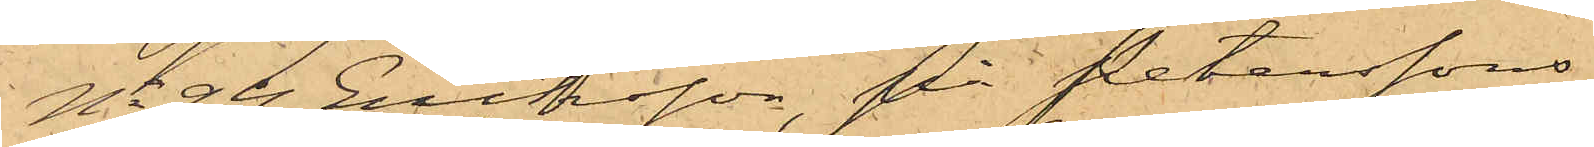No 94 Eriksson, på Peterssons
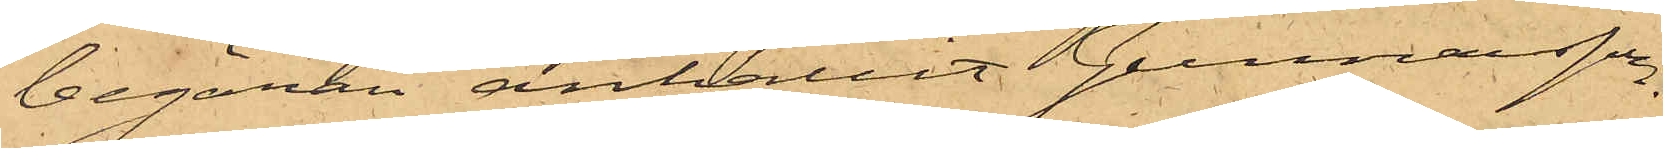begäran anhållit Gunnarsson.
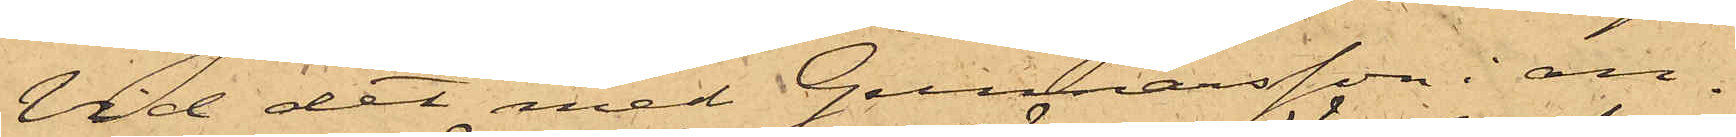Vid det med Gunnarsson i an¬
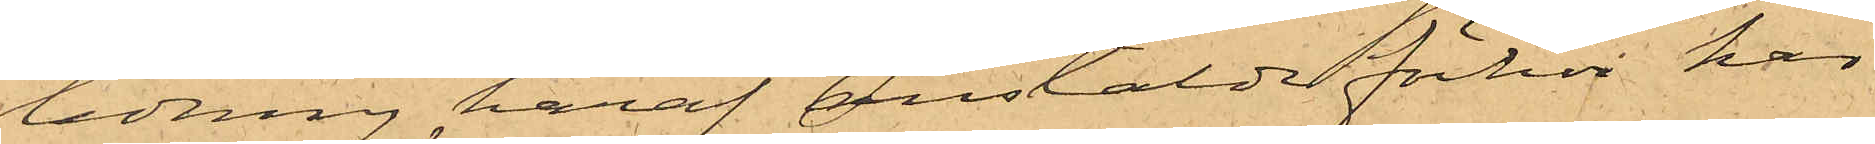ledning häraf anstälde förhör har
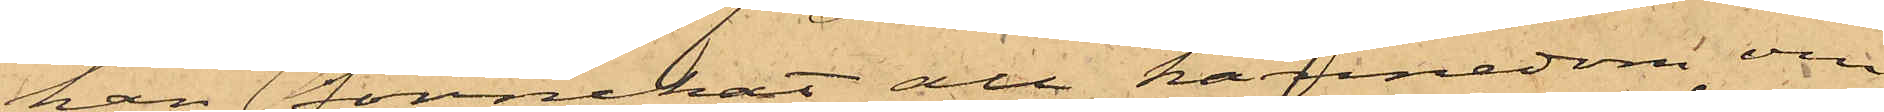han förnekat att kännedom om
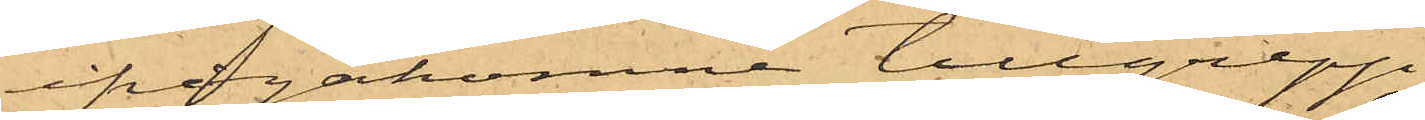ifrågakomne tillgrepp
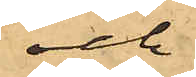och
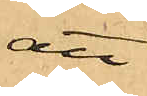att
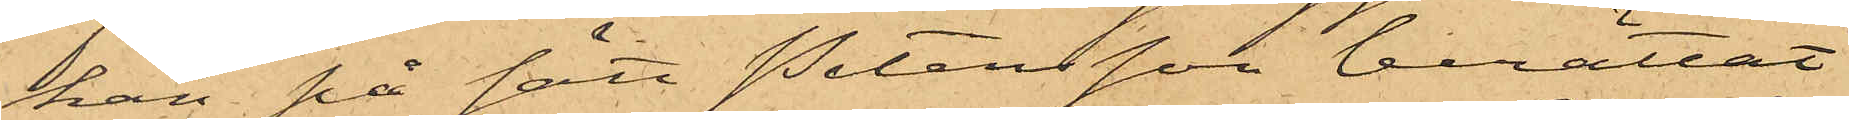han på sätt Petersson berättat
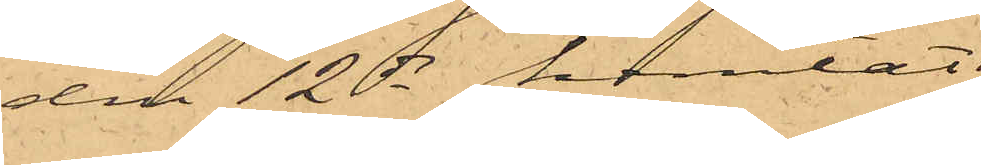den 12 ds hemtat
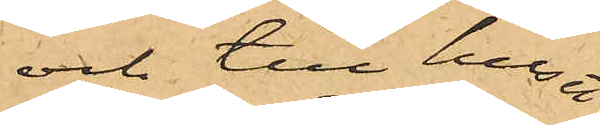och till huset
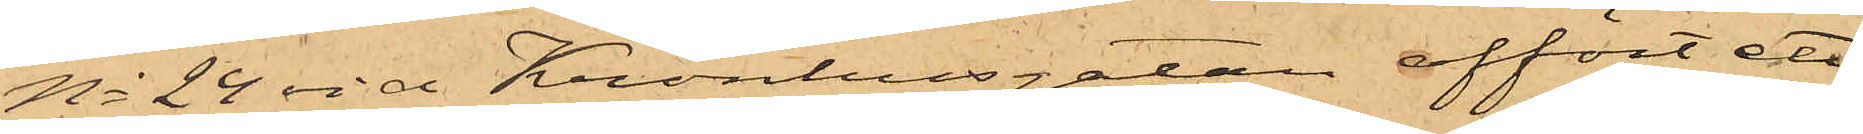No 24 vid Kronhusgatan affört ett
